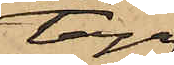taga
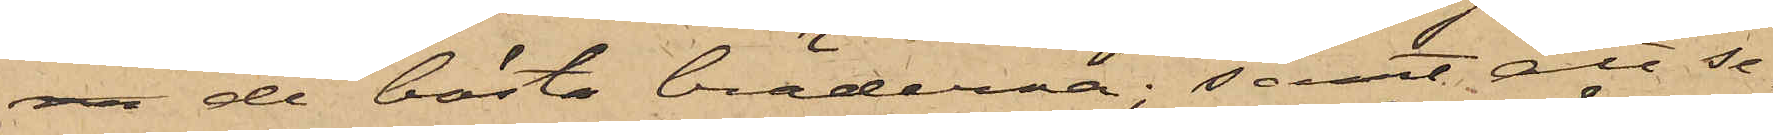de bästa bräderna; samt att se¬
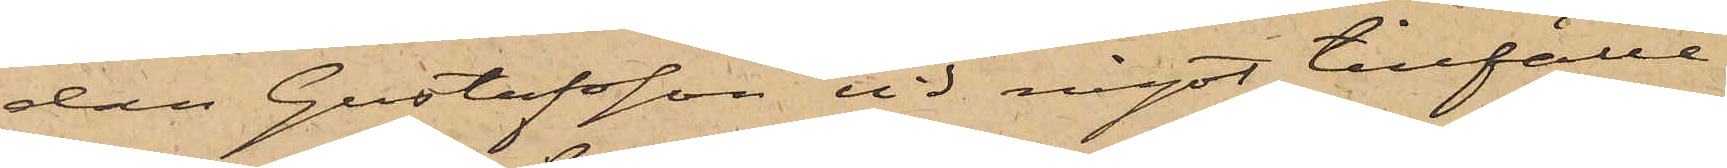dan Gustafsson vid något tillfälle
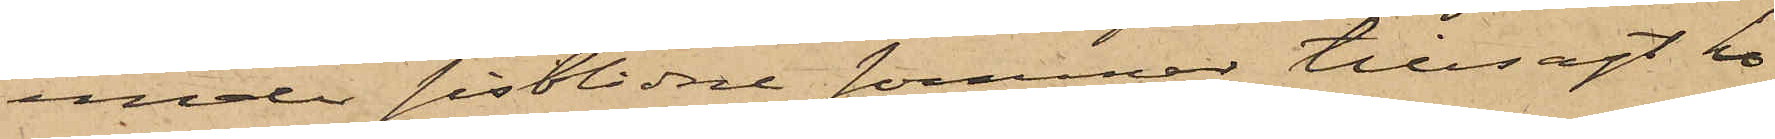under sistlidne sommar tillsagt ho¬
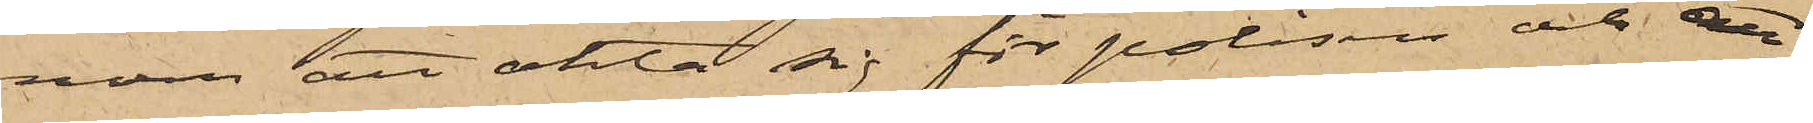nom att akta sig för polisen och att
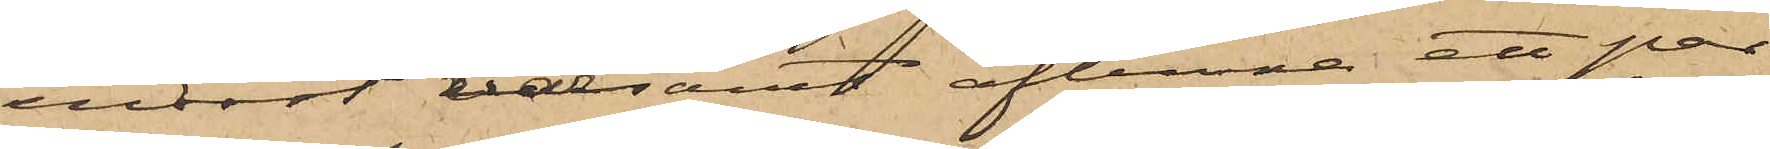endast varsamt aflemna ett par
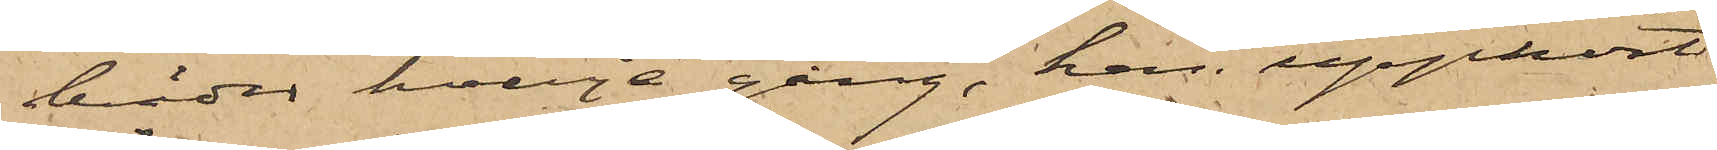bräder hvarje gång, han upphört
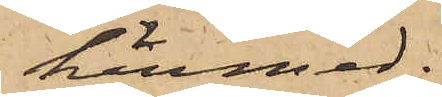härmed.
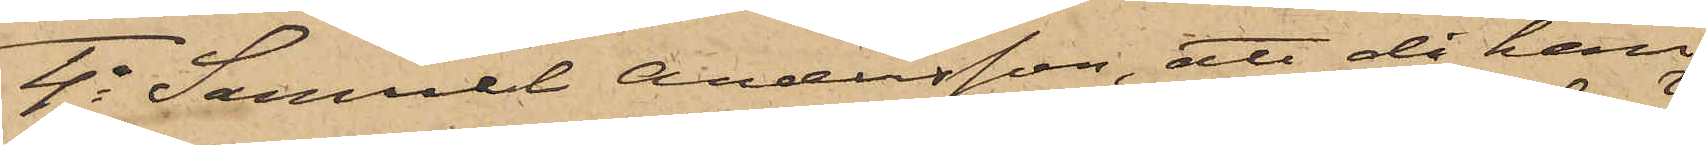4o Samuel Andersson, att då han
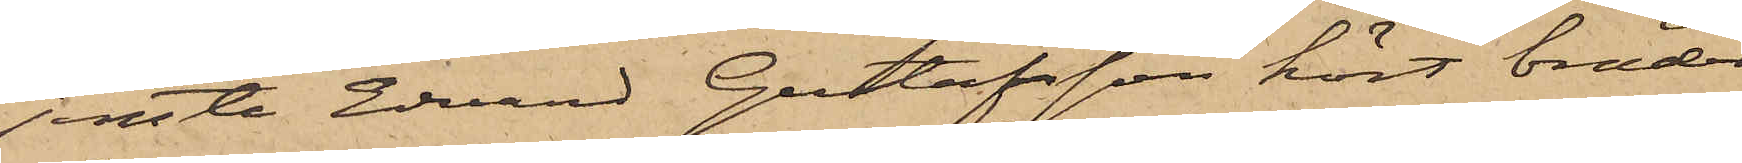jemte Edvard Gustafsson kört bräder
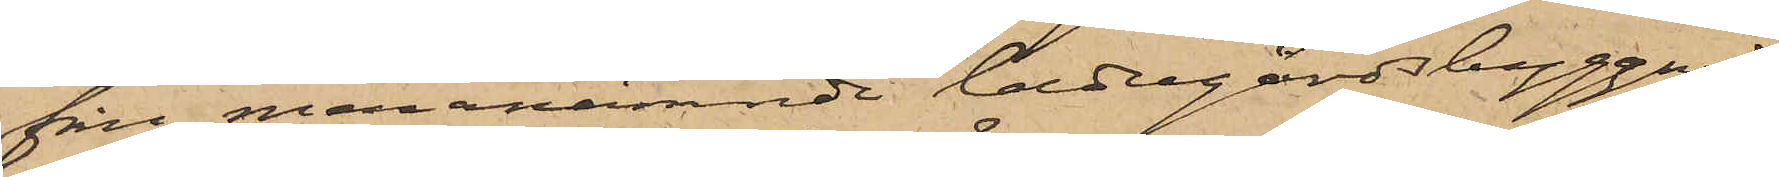från meranämnde ladugårdsbyggnad,
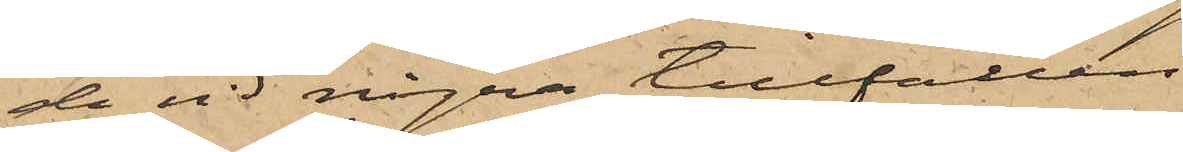de vid några tillfällen,
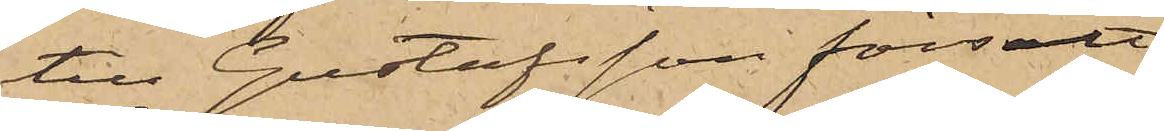till Gustafsson försålt
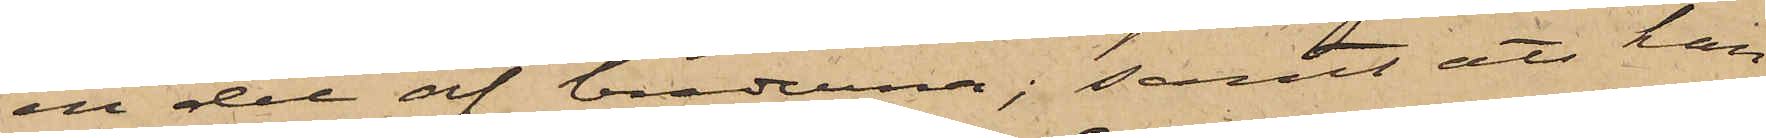en del af bräderna; samt att han
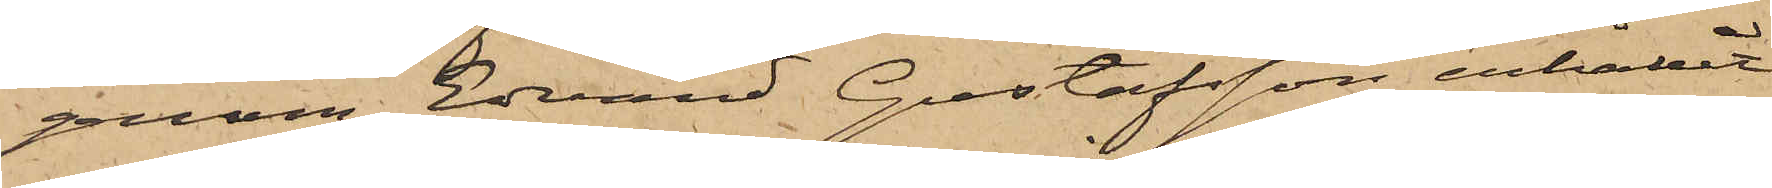genom Edvard Gustafsson erhållit
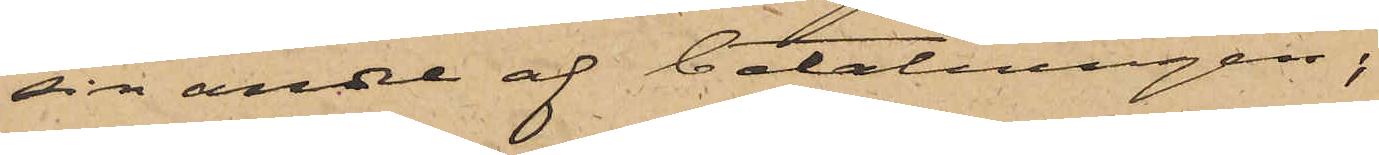sin andel af betalningen;
